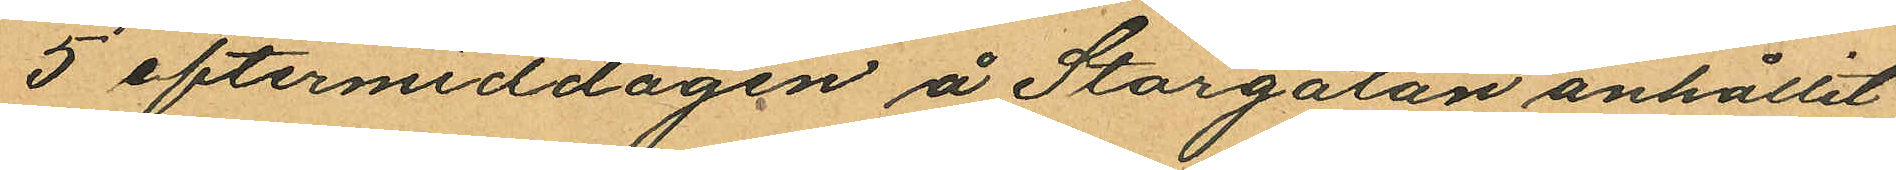5 eftermiddagen å Storgatan anhållit
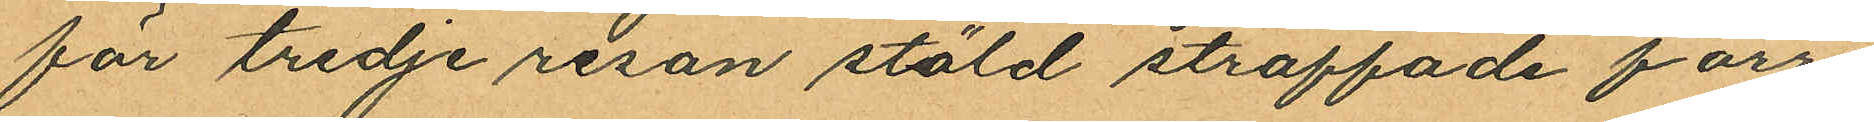för tredje resan stöld straffade förre
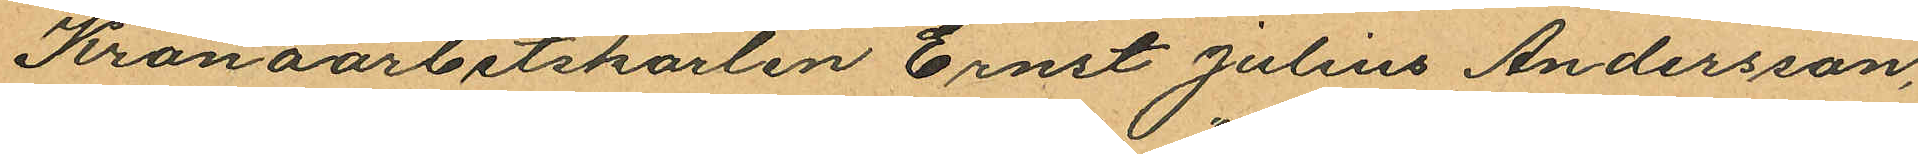Kronoarbetskarlen Ernst Julius Andersson,
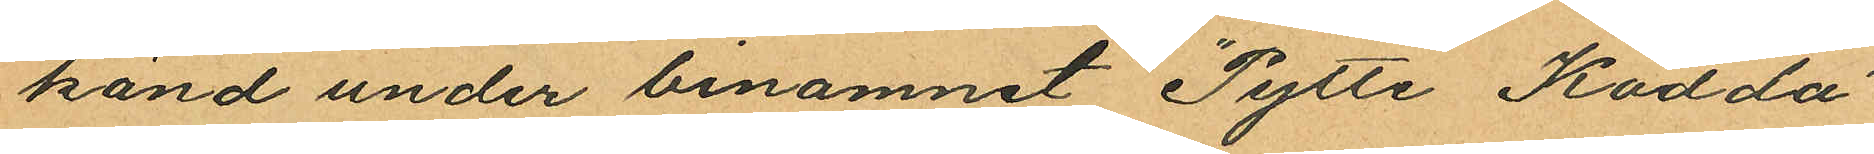känd under binamnet "Pytte Kodda"
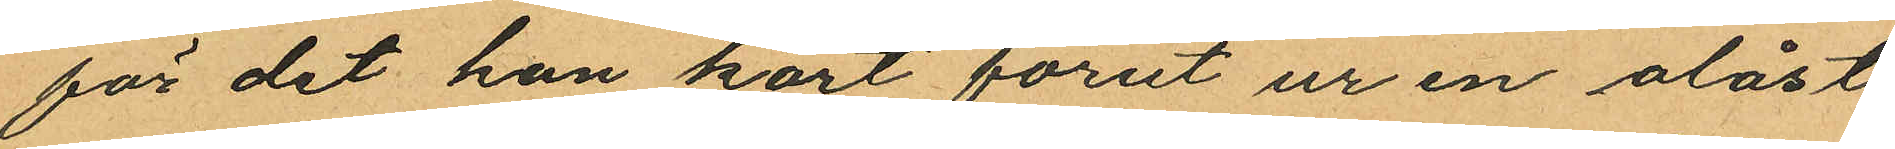för det han kort förut ur en olåst
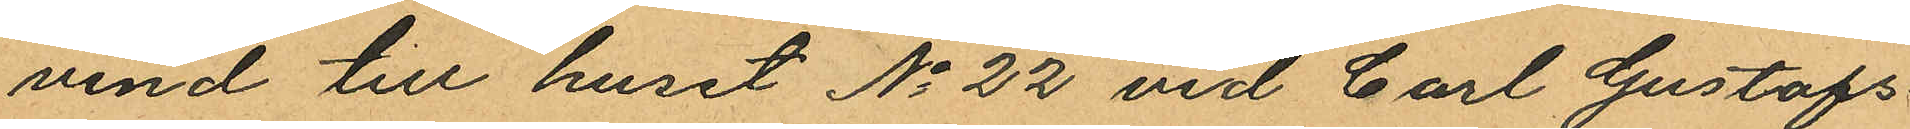vind till huset No 22 vid Carl Gustafs¬
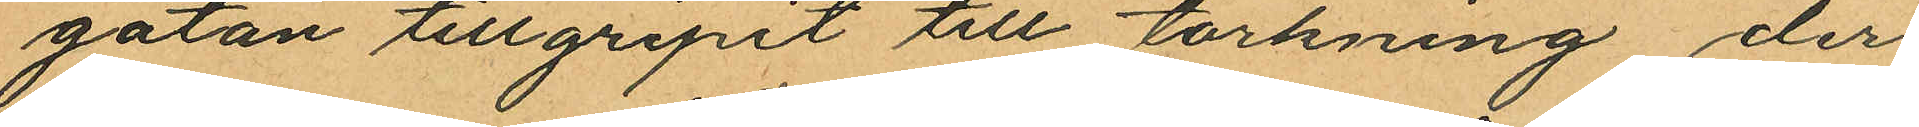gatan tillgripit till torkning, der
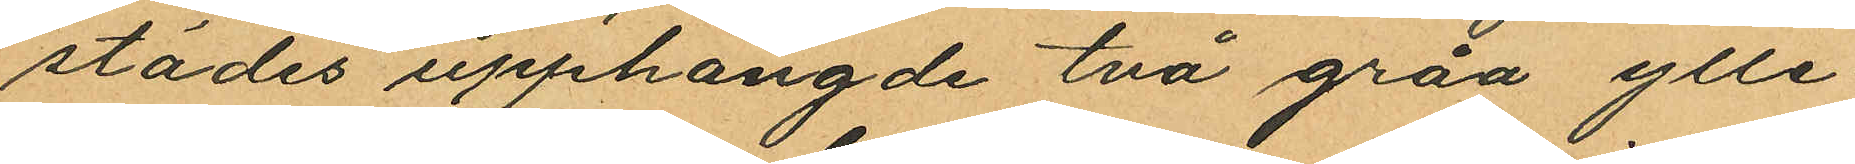städes upphängde två gråa ylle
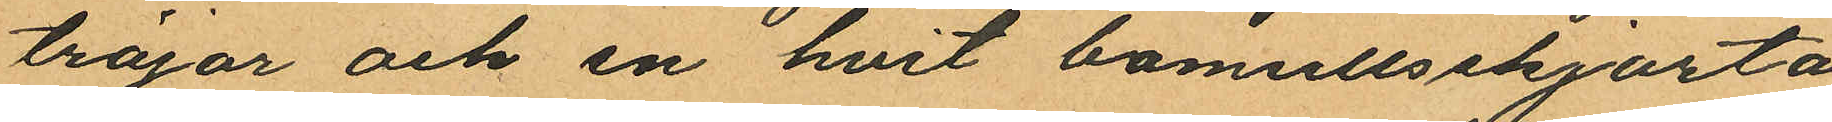tröjor och en hvit bomullsskjorta
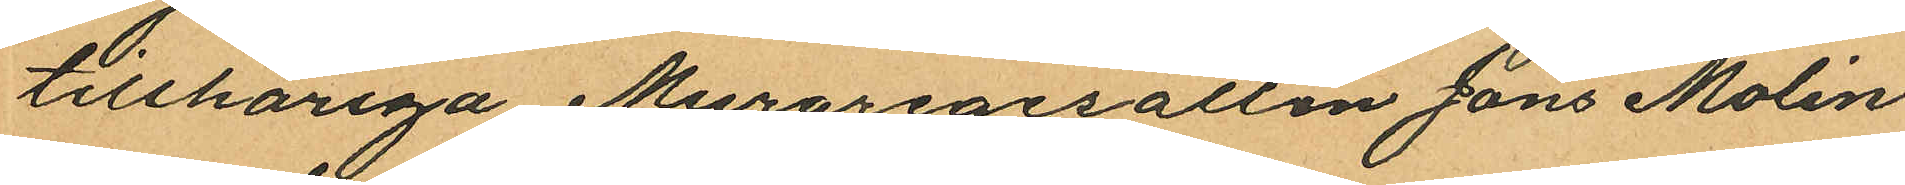tillhöriga Muraregesällen Jöns Molin
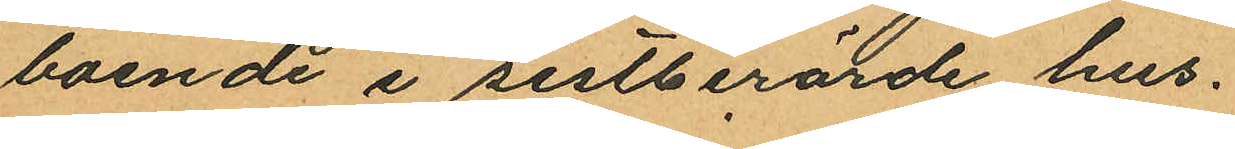boende i sistberörde hus.
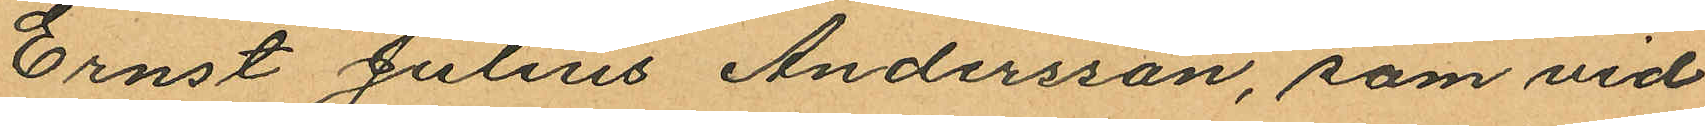Ernst Julius Andersson, som vid
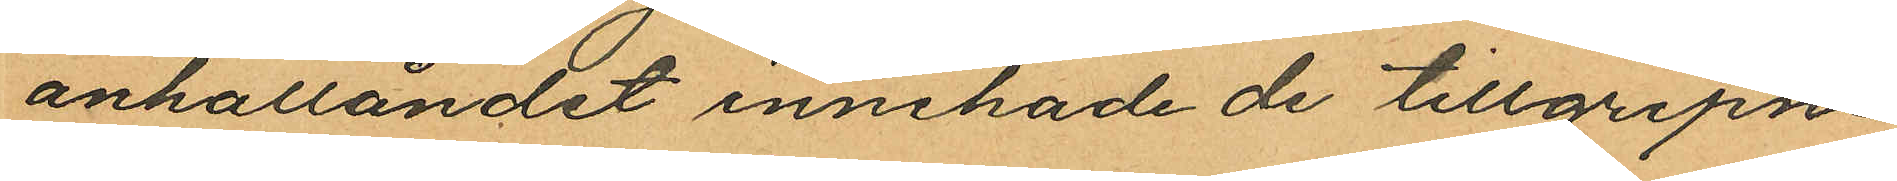anhållandet innehade de tillgripne
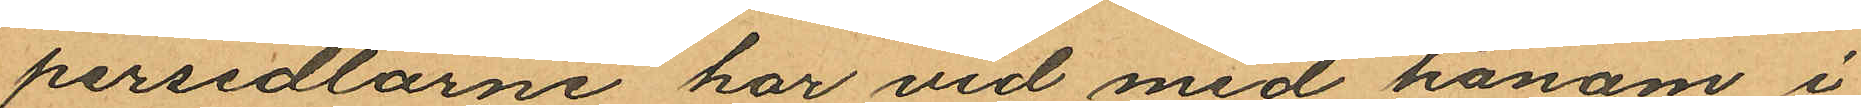persedlarne har vid med honom i
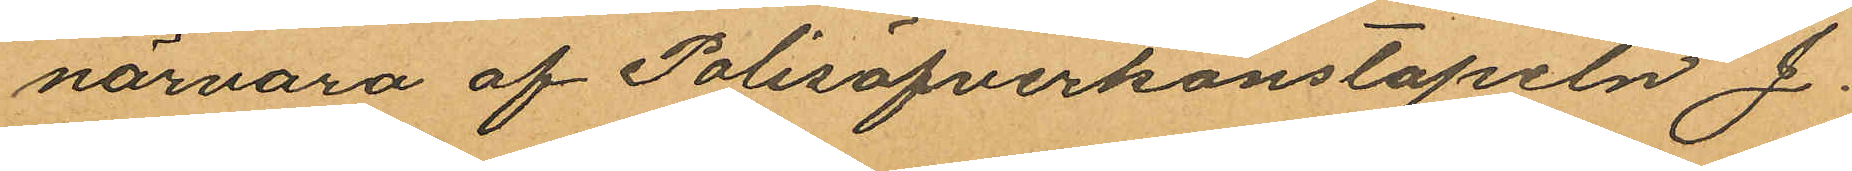närvaro af Polisöfverkonstapeln J.
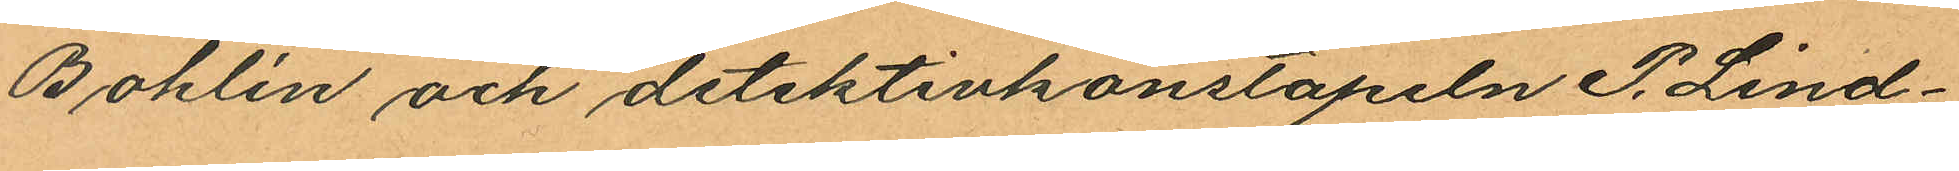Bohlin och detektivkonstapeln P. Lind¬
